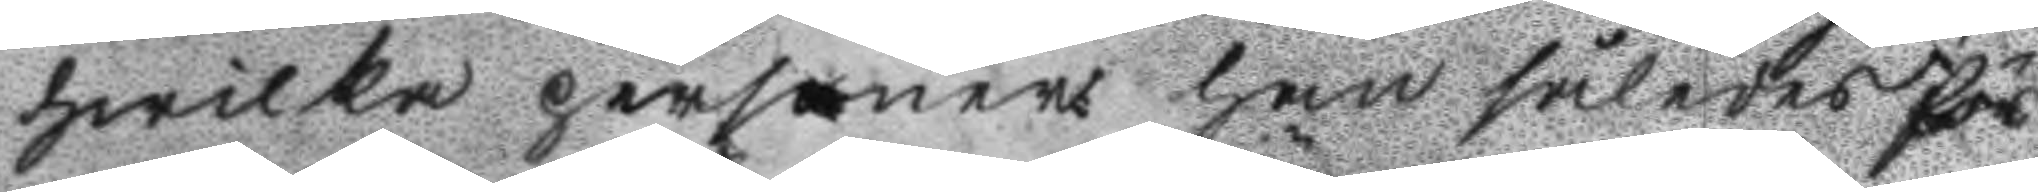hwilka personer han således för
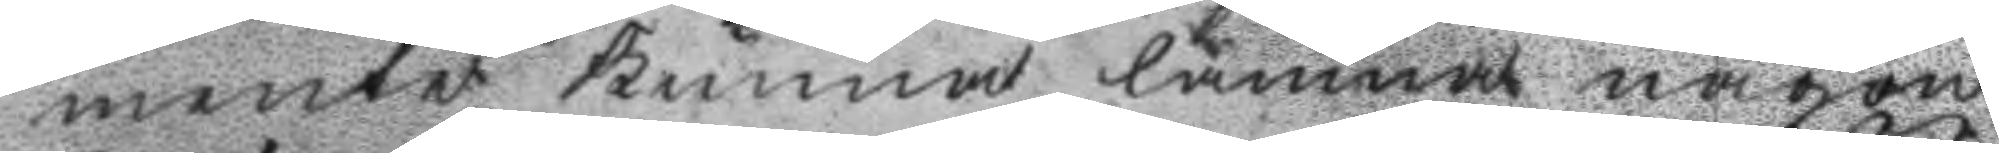mente kunna lämna någon
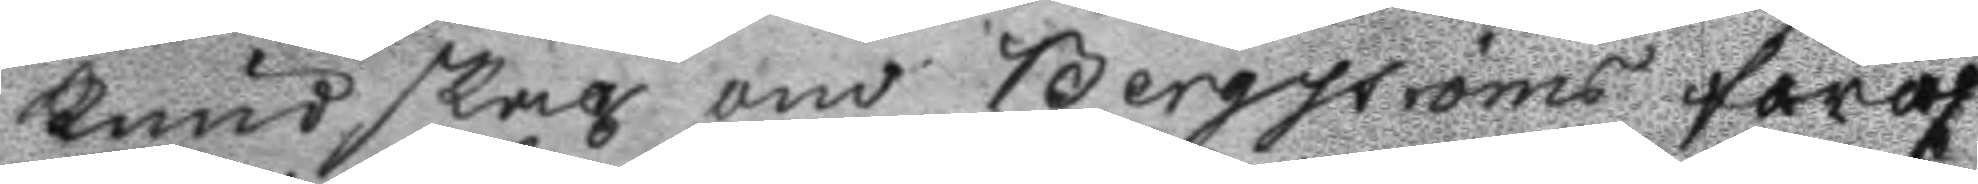kundskap om Bergströms föröf
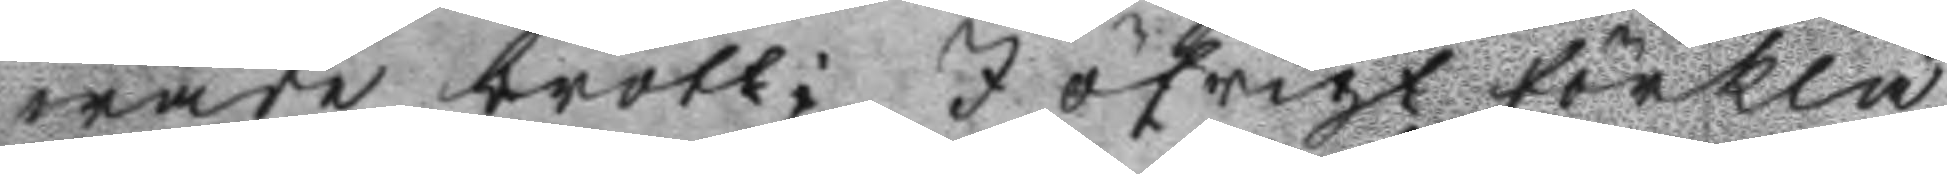wade brott; I öfrigt förkla
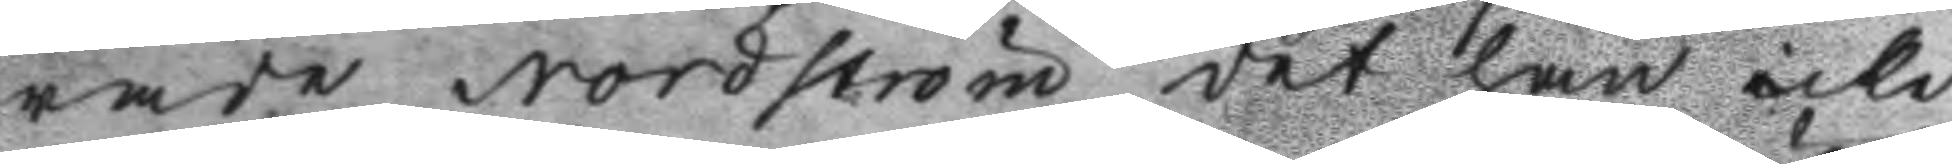rade Nordström det han icke
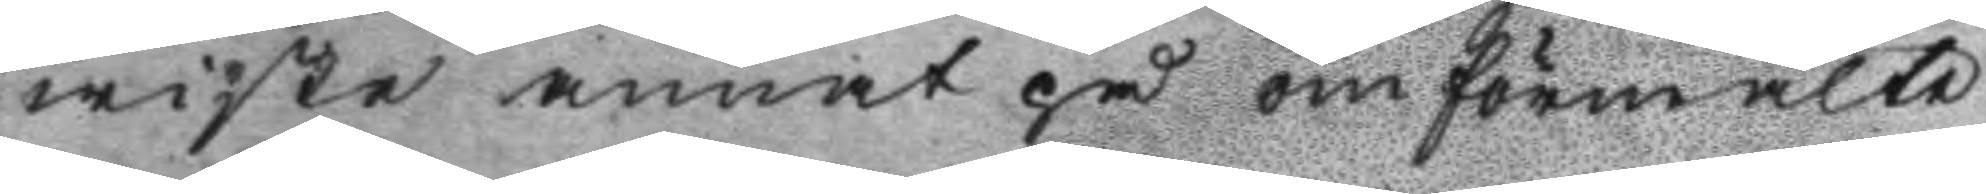wiste annat på omförmälte
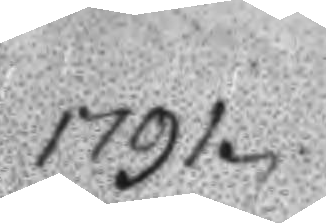1791.
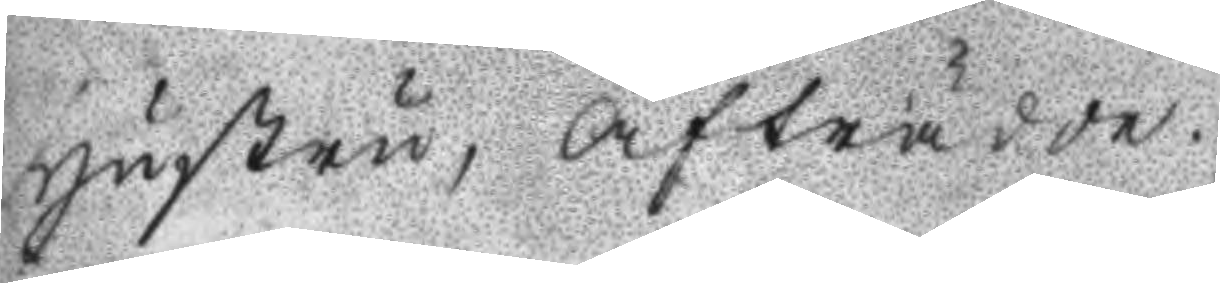hustru, afträdde.
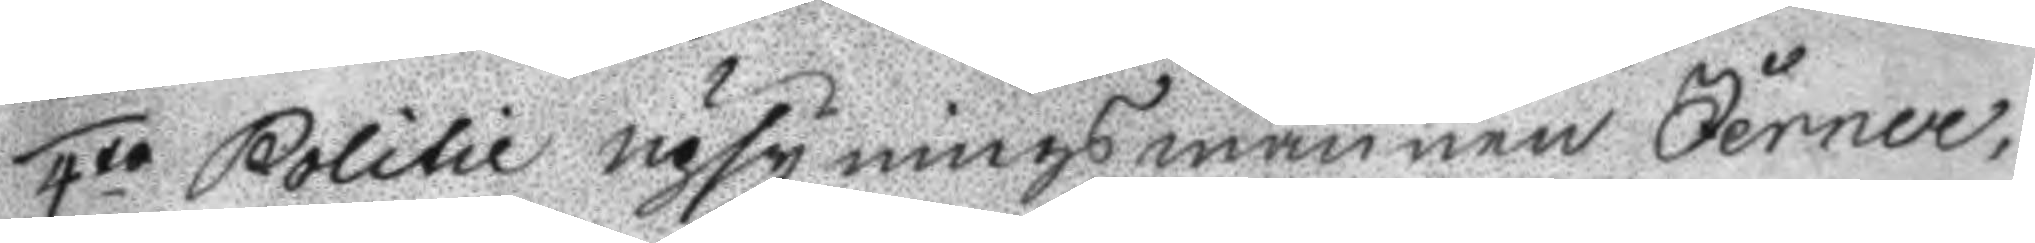4to Politie upsyningsmannen Jerner,
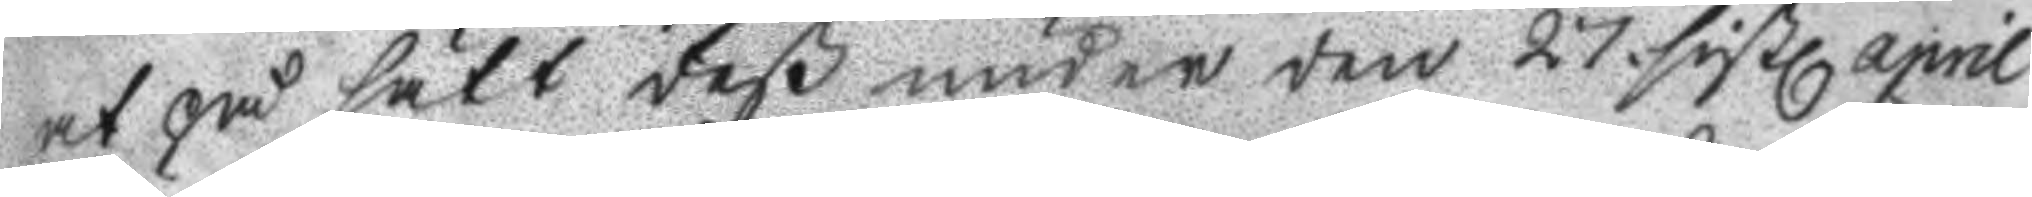at på sätt deß under den 27. sistl. april
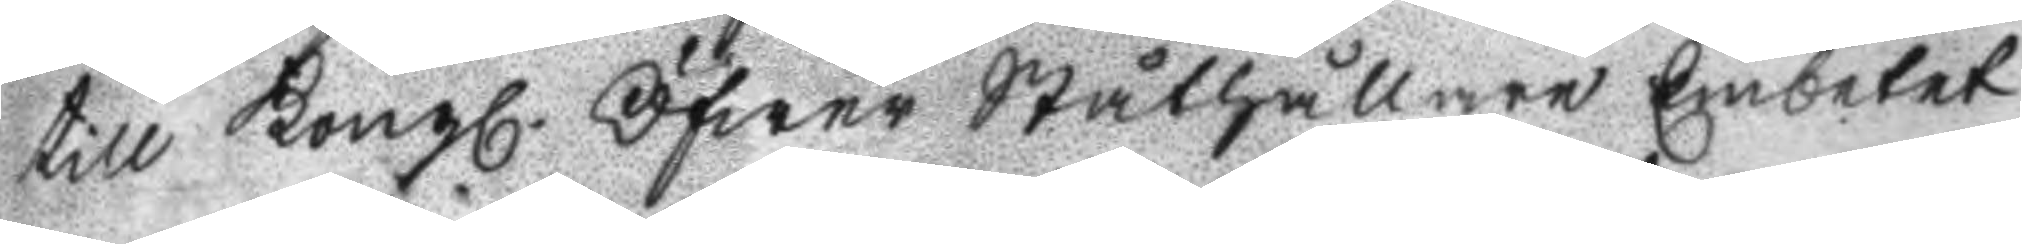till Kongl. Öfwer Ståthållare Embetet
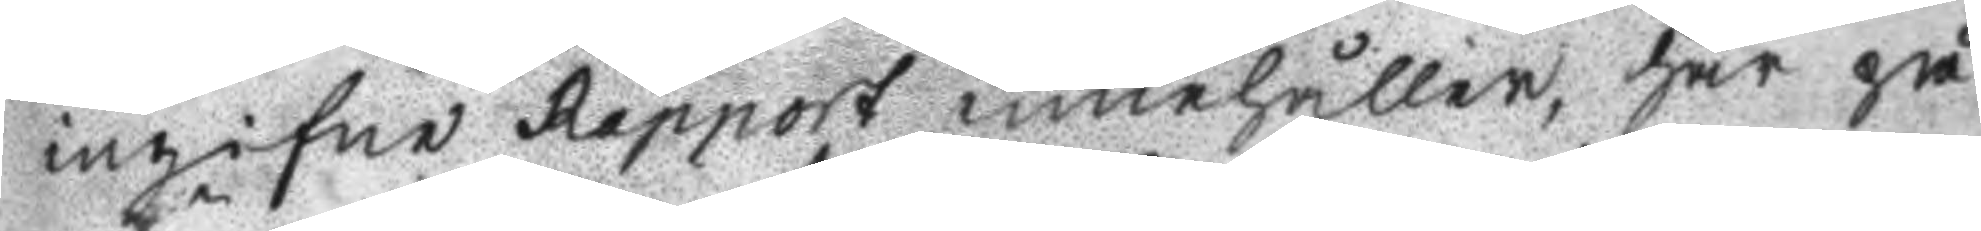ingifne Rapport innehåller, har på
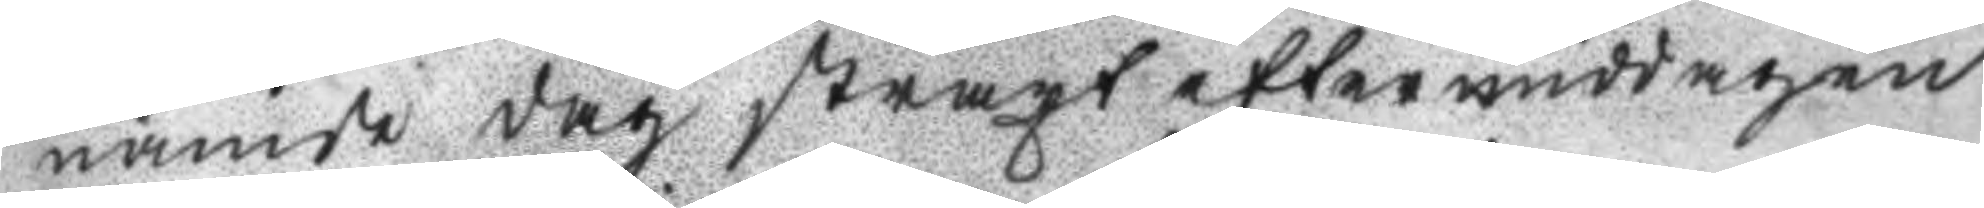nämde dag straxt efter middagen
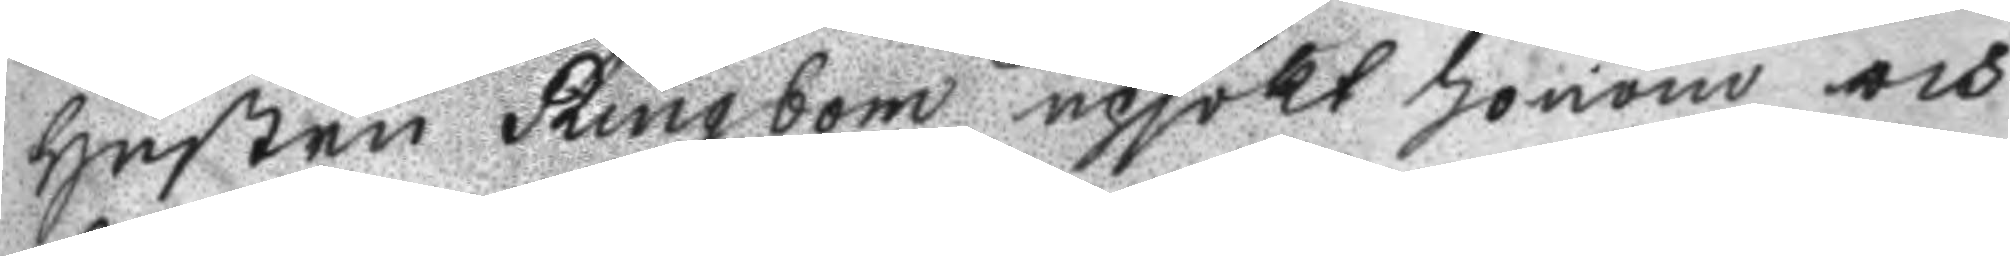hustru Ringbom upsökt honom och
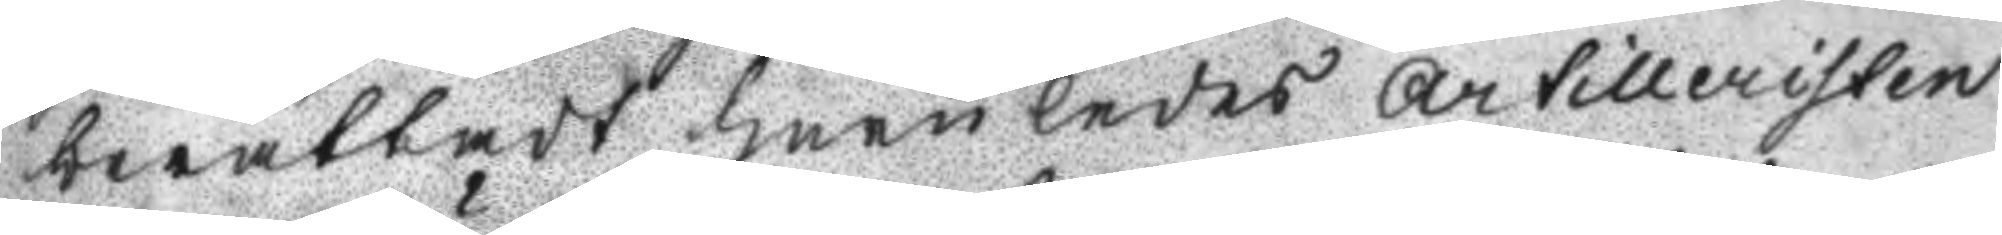berättat huruledes artilleristen
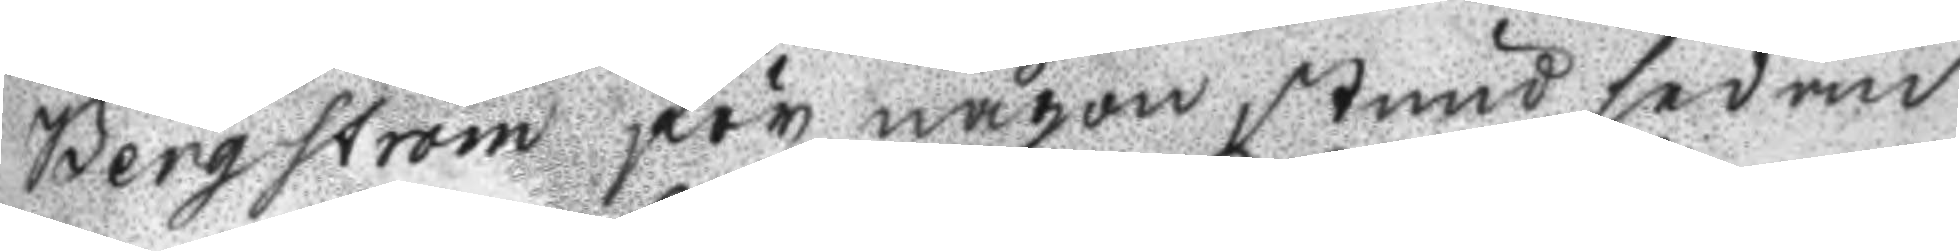Bergström för någon stund sedan
